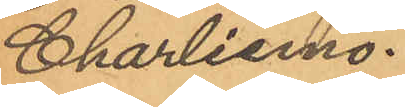Charliemo
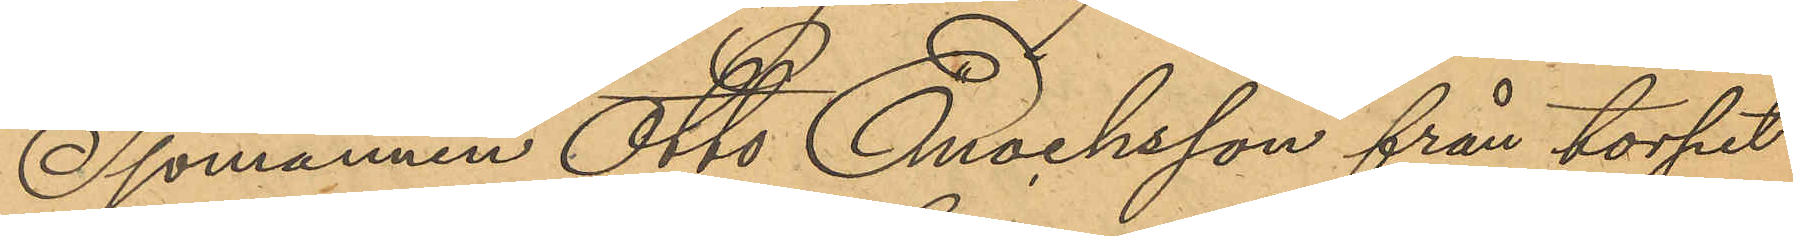Sjömannen Otto Enocksson från torpet
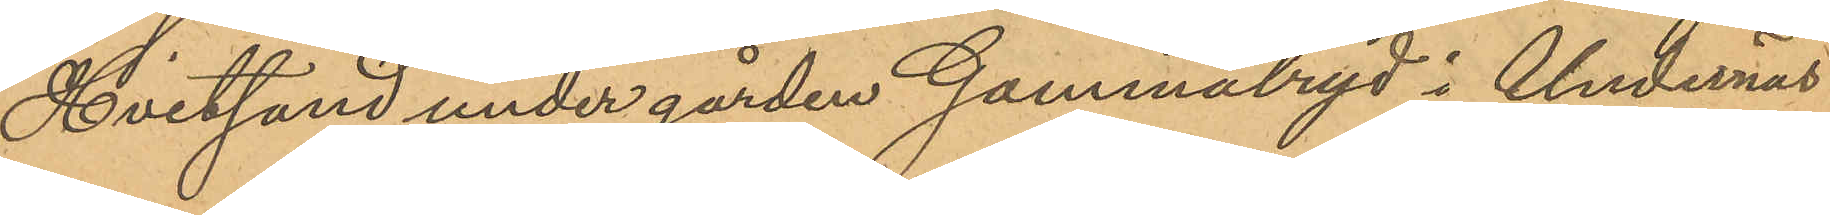Hvitsand under gården Gammalryd i Undernäs
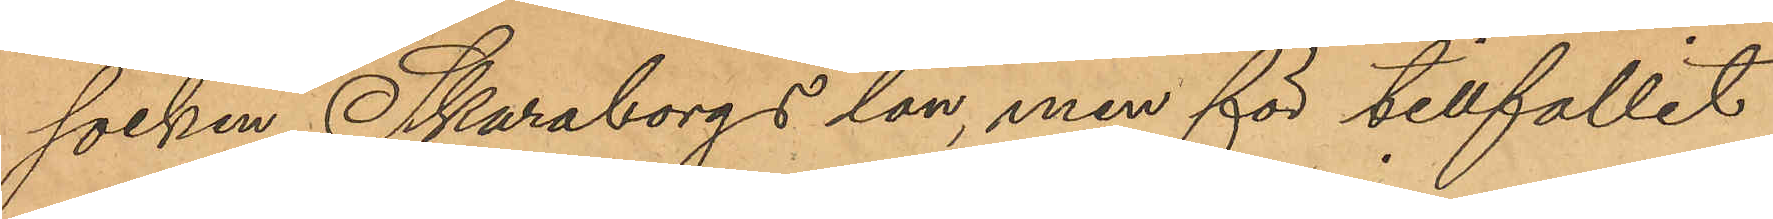socken, Skaraborgs län, men för tillfället
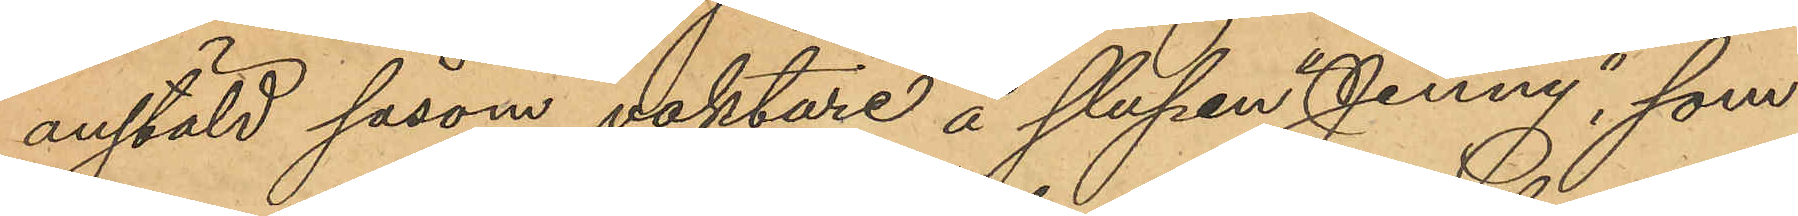anstäld såsom vaktare å slupen "Jenny", som
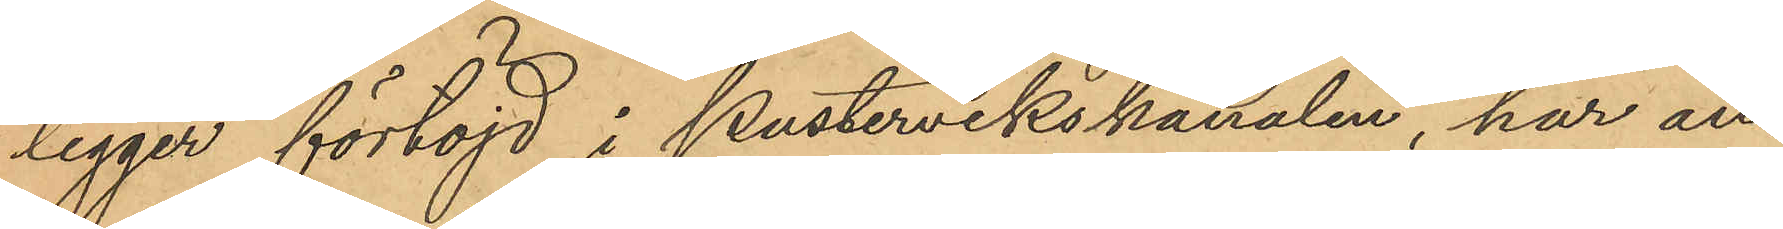ligger förtöjd i Pustervikskanalen, har an¬
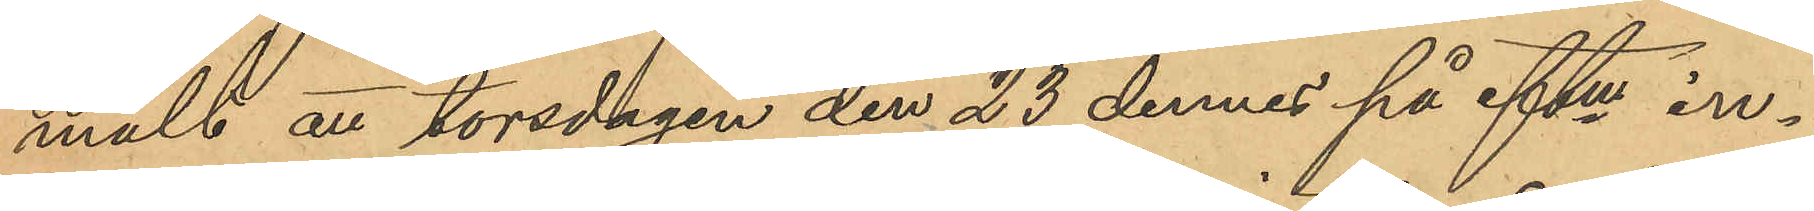mält att torsdagen den 23 dennes på eftm in¬
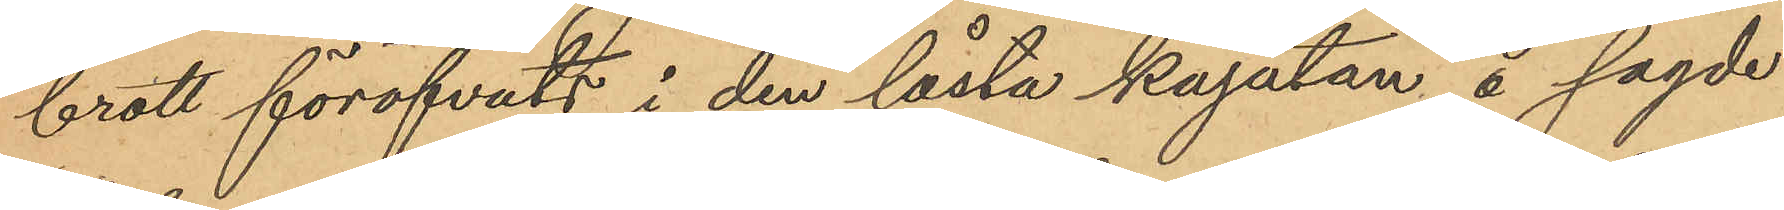brott föröfvats i den låsta kajutan å sagde
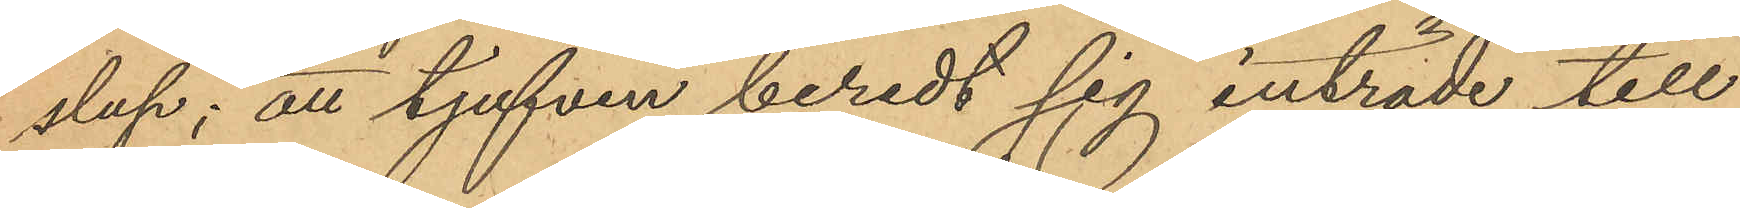slup; att tjufven beredt sig inträde till
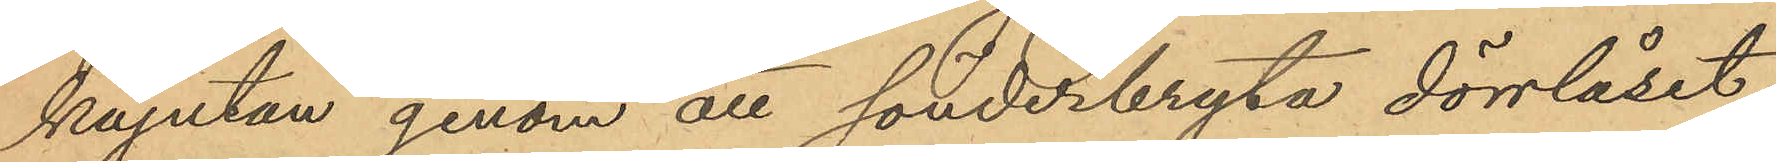kajutan genom att sönderbryta dörrlåset,
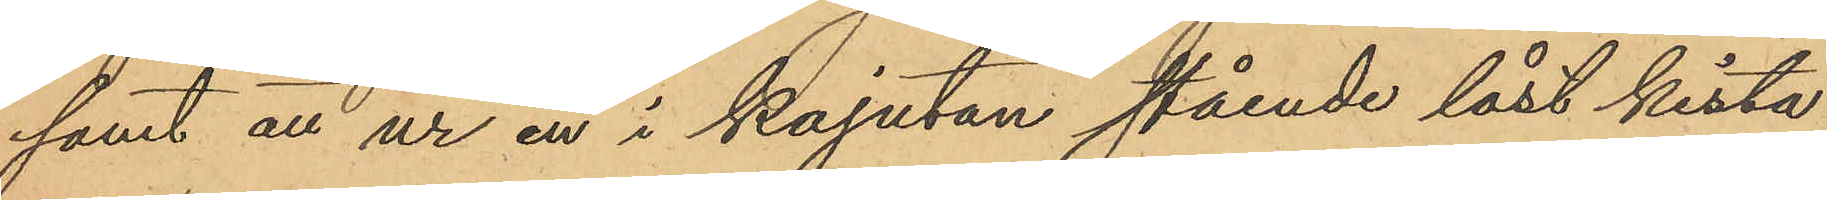samt att ur en i kajutan stående låst kista,
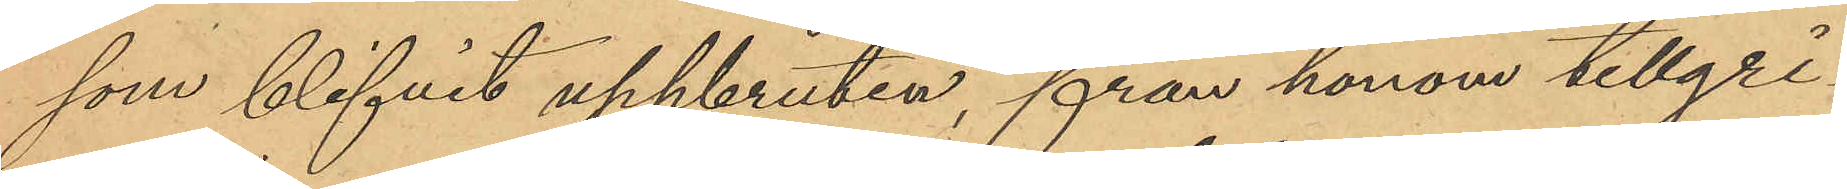som blifvit uppbruten, från honom tillgri¬
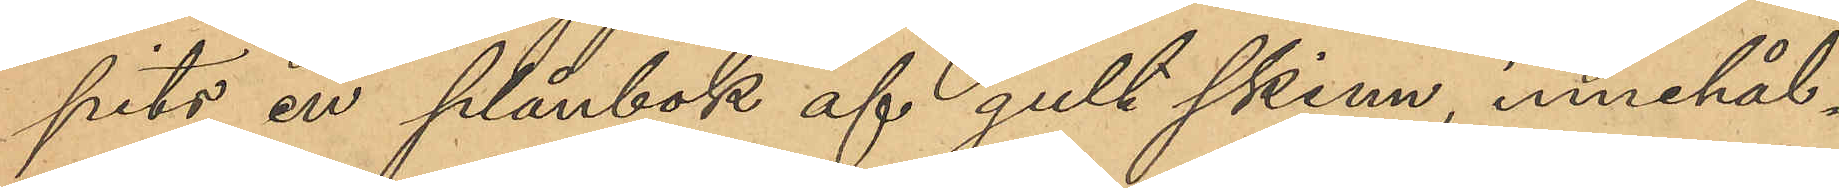pits en plånbok af gult skinn, innehål¬
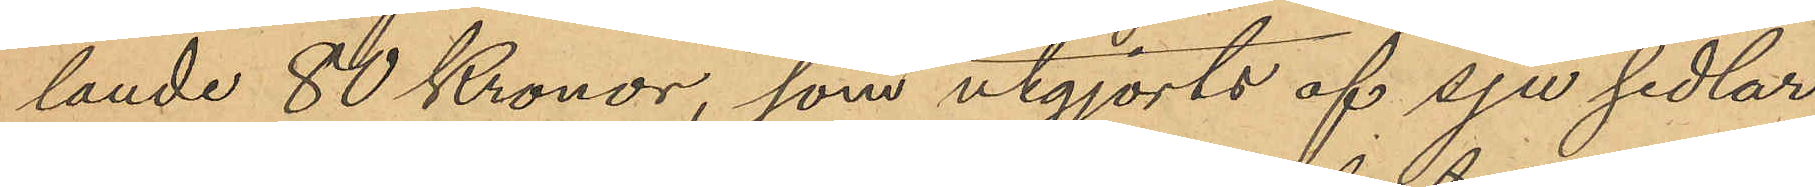lande 80 Kronor, som utgjorts af sju sedlar
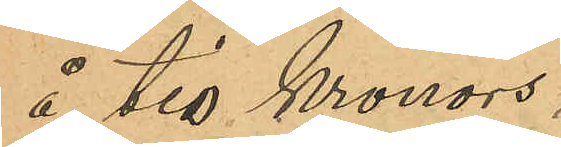å tio kronors
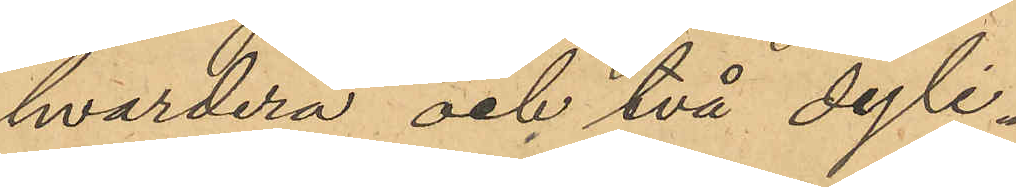hvardera och två dyli¬
